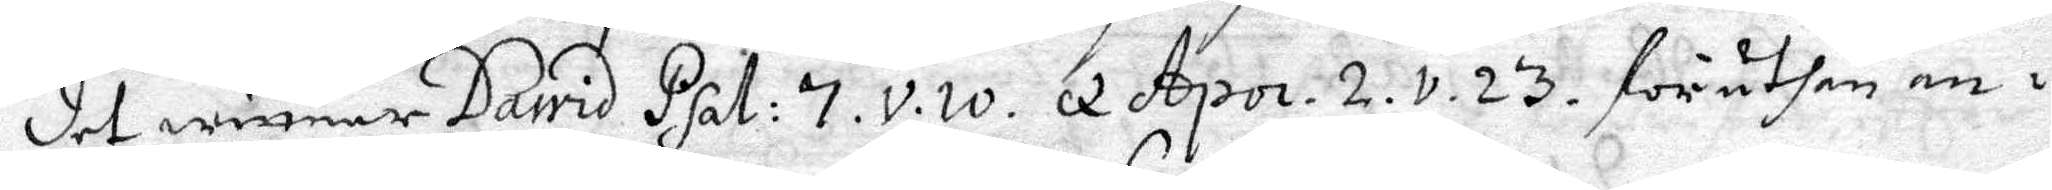det wittnar David Psal: 7.v.w. q Apo.2.v.23. föruthan an¬
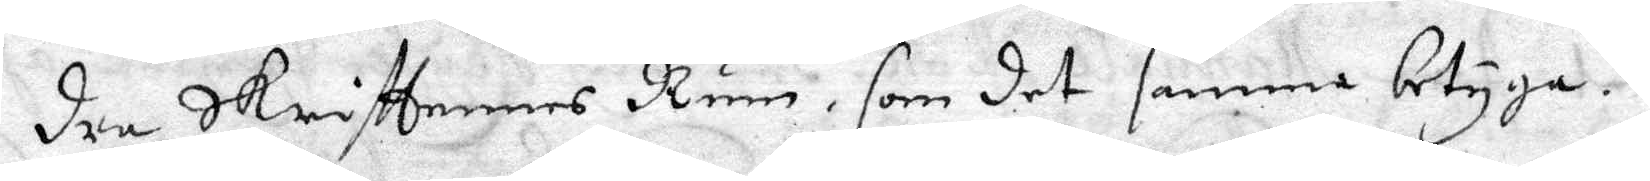dre Skriftennes Rum, som det samma betygar.
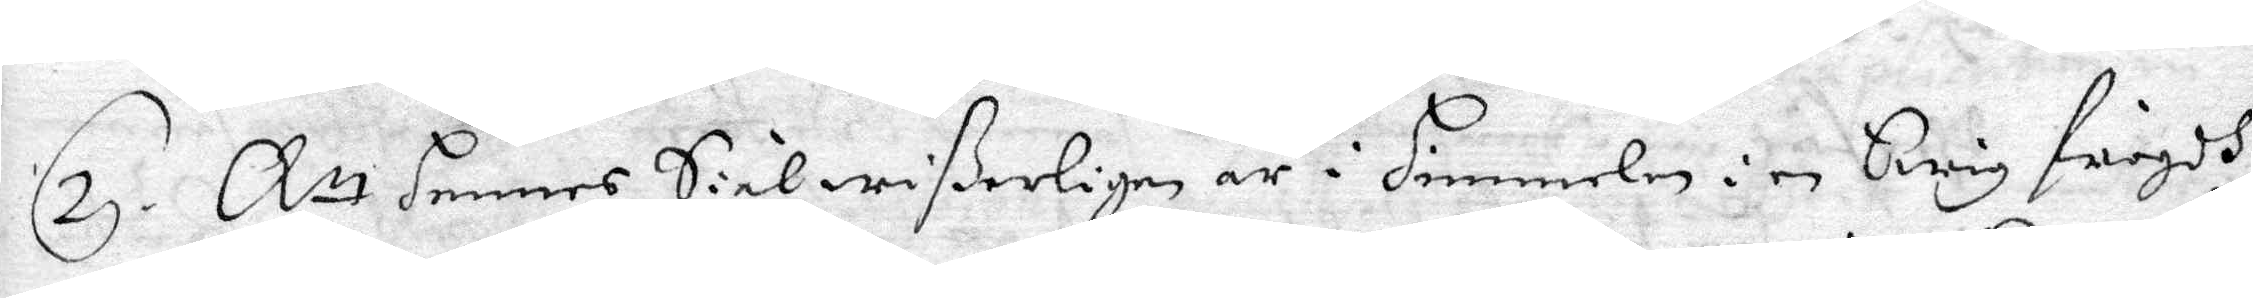2. Att hennes Siel wißerligen är i himmelen i en Ewig frögdh
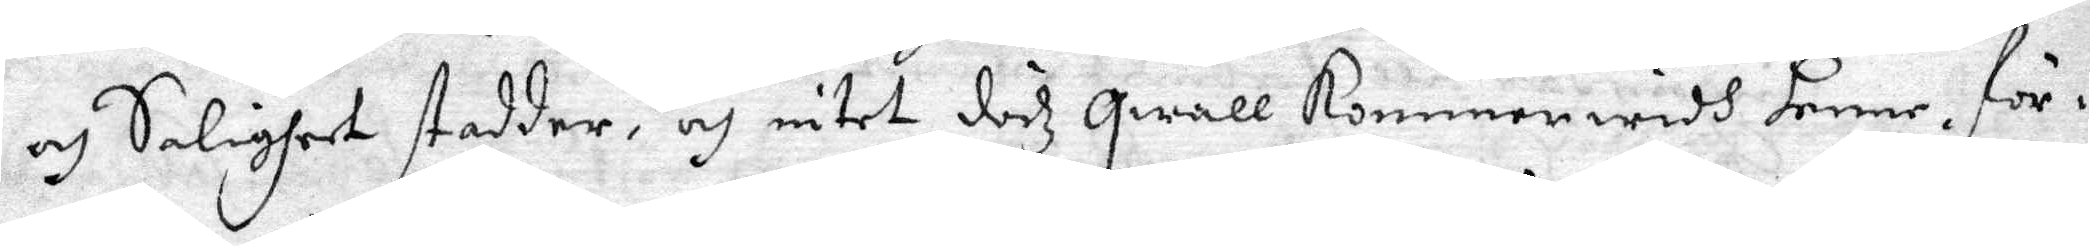och Salighet stadder, och intet dödz qwall kommer widh henne, för¬
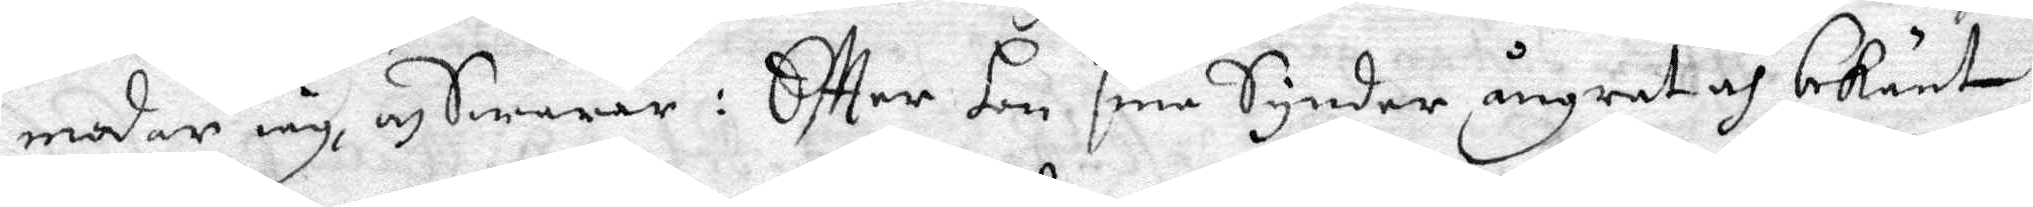modar iag, och Swarar: Eftter hon sine Synder ångrat och bekänt
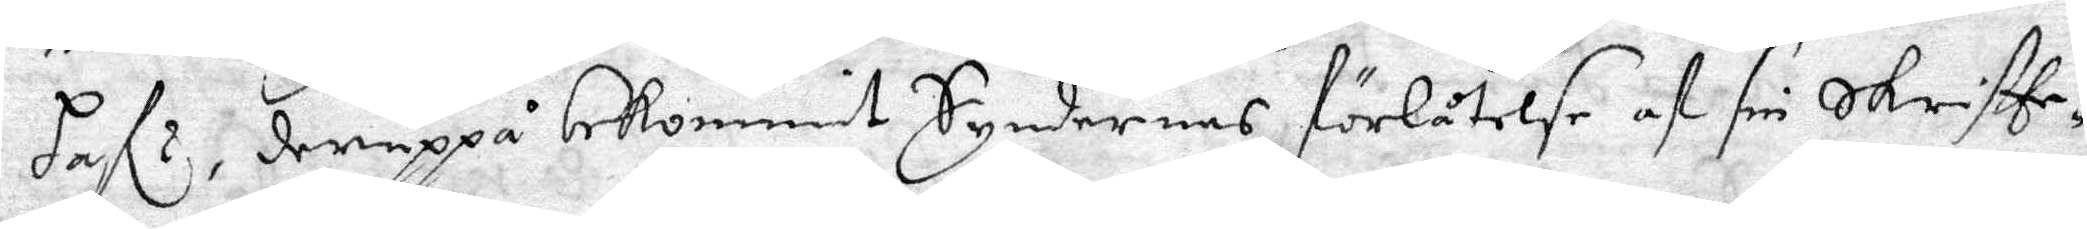haf.r, deruppå bekommit Syndernes förlåtelse af sin Skriftte¬
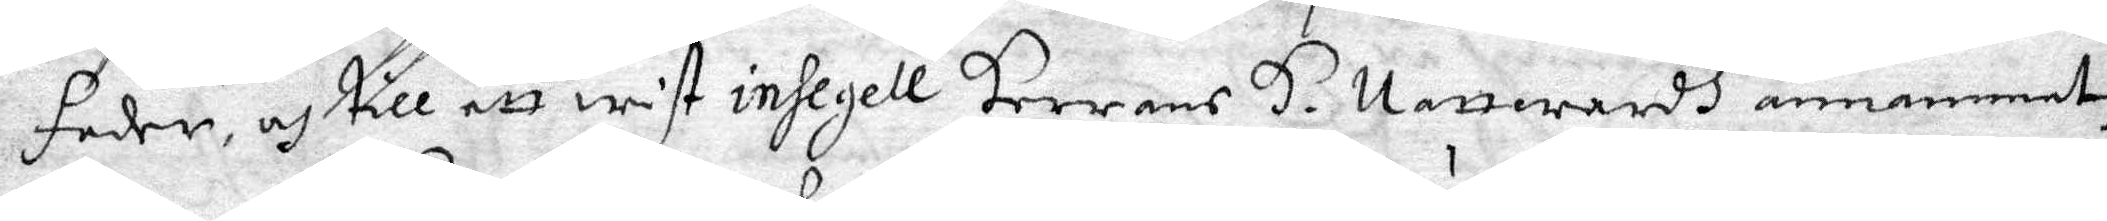fader, och till ett wist insegell Herrans H. Nattwardh annammat
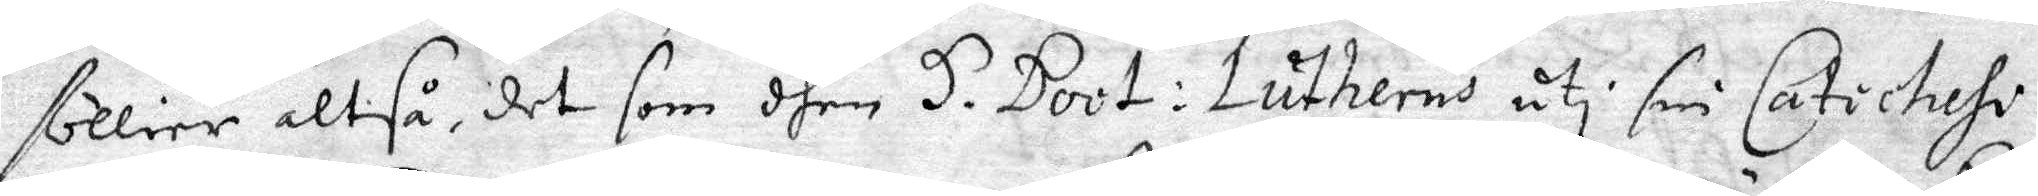föllier altså, det som dhen H. Doot: Lutherus uti sin Caticheche
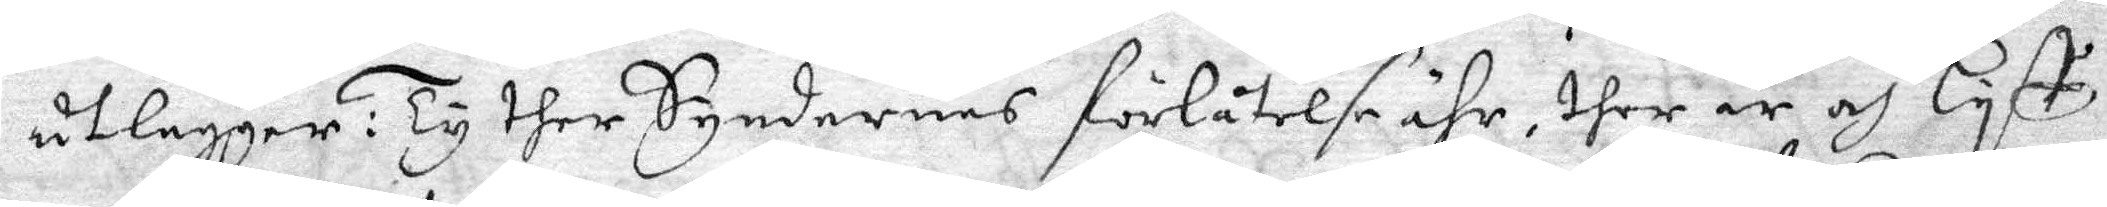utlägger: Ty ther Syndernes förlåtelse ähr, ther är och Lyst
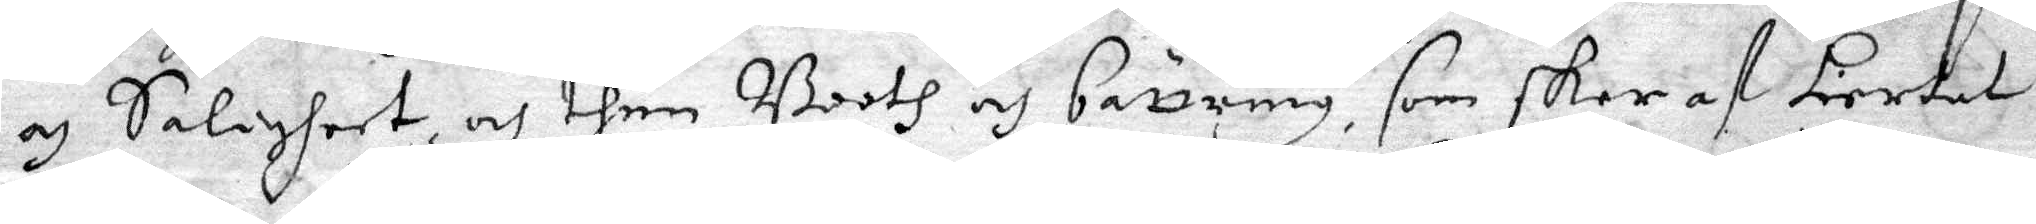och Salighhet och then Booth och bättring, som sker af hiertat
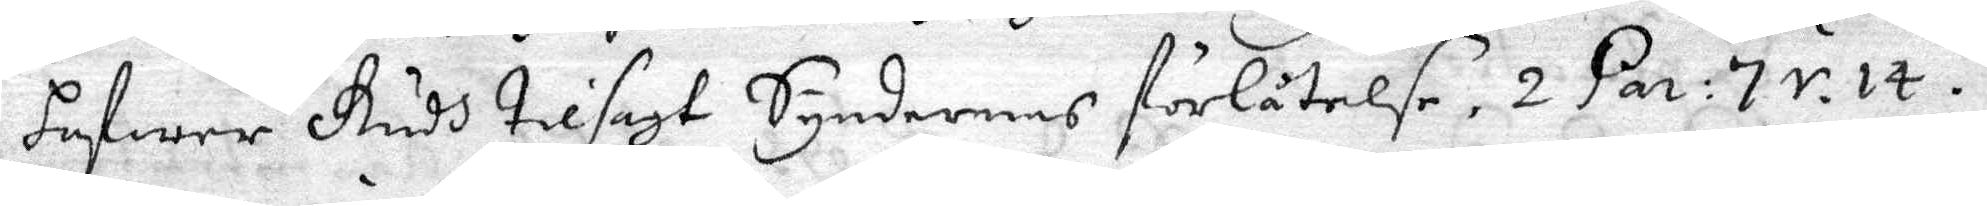hafwer Gudh tilsagt Syndernas förlåtelse, 2 Par: 7 v. 14.
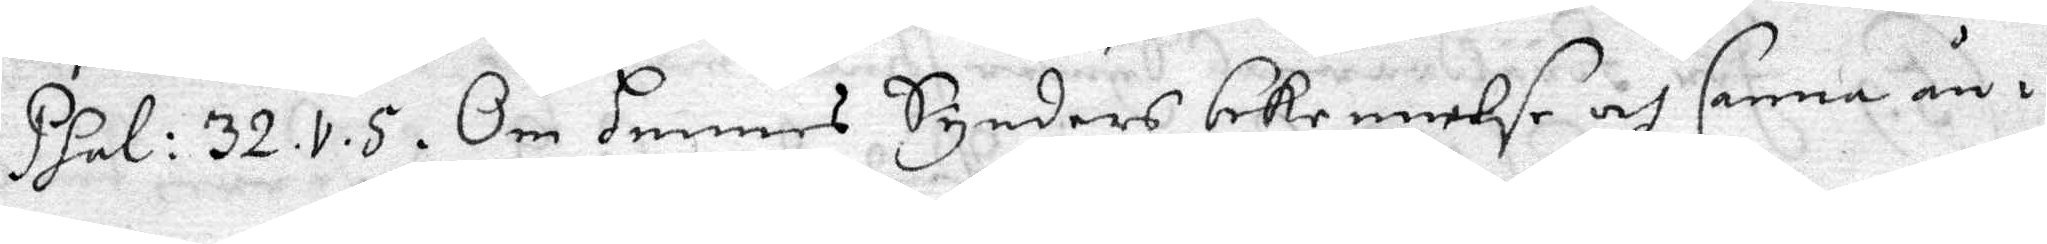Psal: 32.v.5. Om hennes Synders bekennelse och samma ån¬
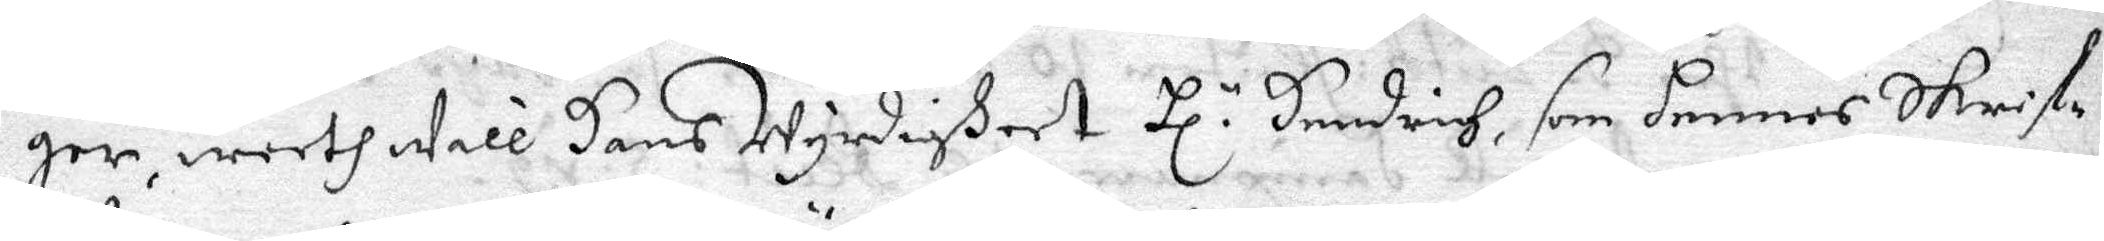ger, weeth Will Hans Wyrdigheet Hl.r Hendrich, som hennes Skrif¬
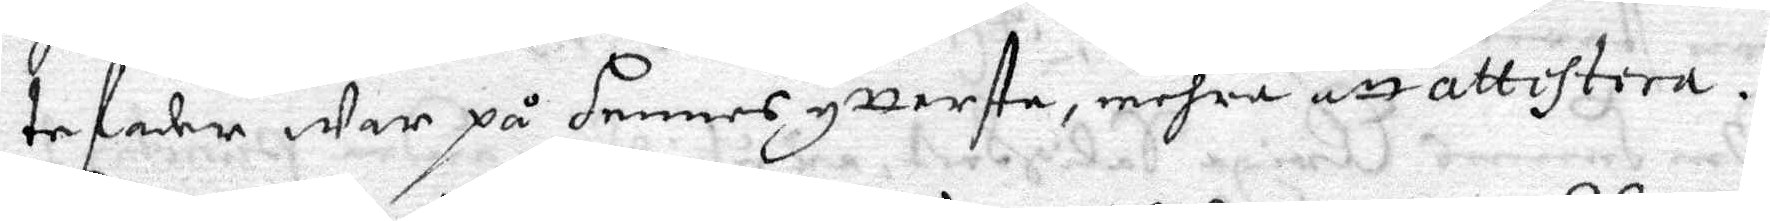tefader War på hennes yttersta, mehra att att attchtera.
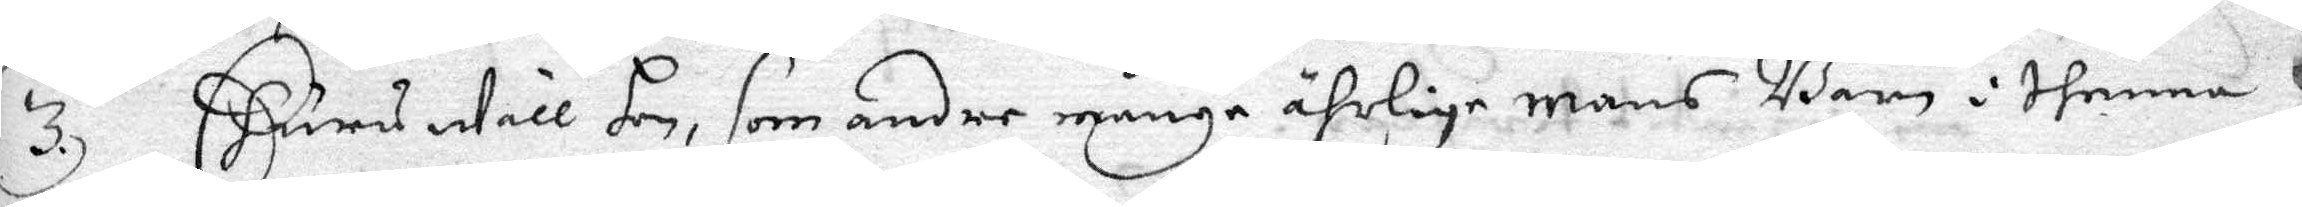3. Ehuru Will hon, som andre månge ährlige mans Barn i thenna
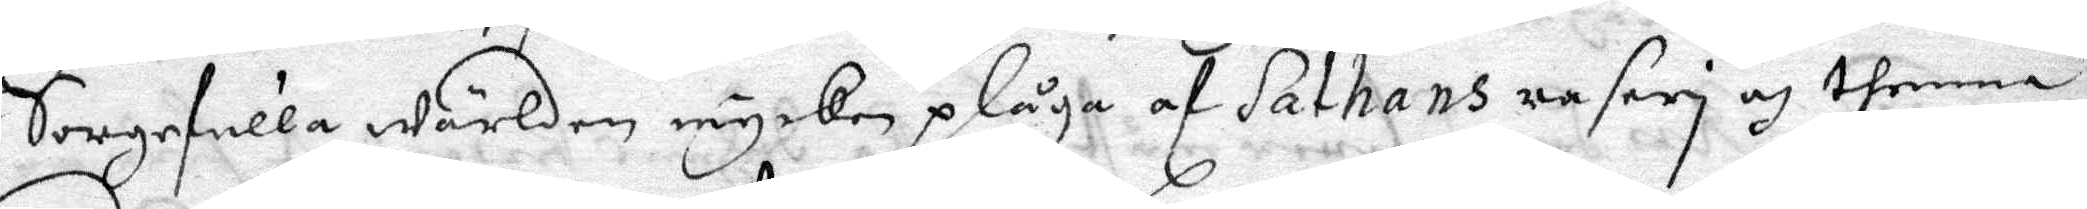Sorgefulla Wärlden mycken plåga af Sathans rasery och thenna
